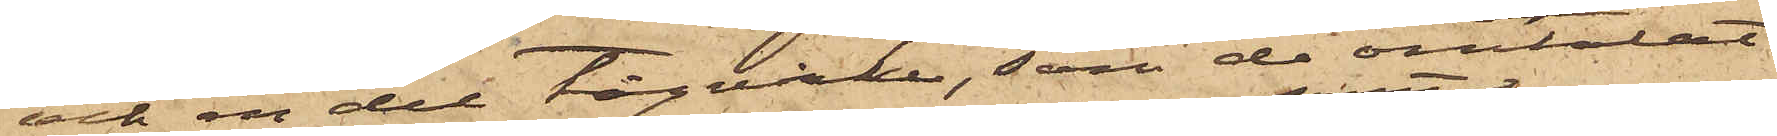och en del tågvirke, som de omtalat
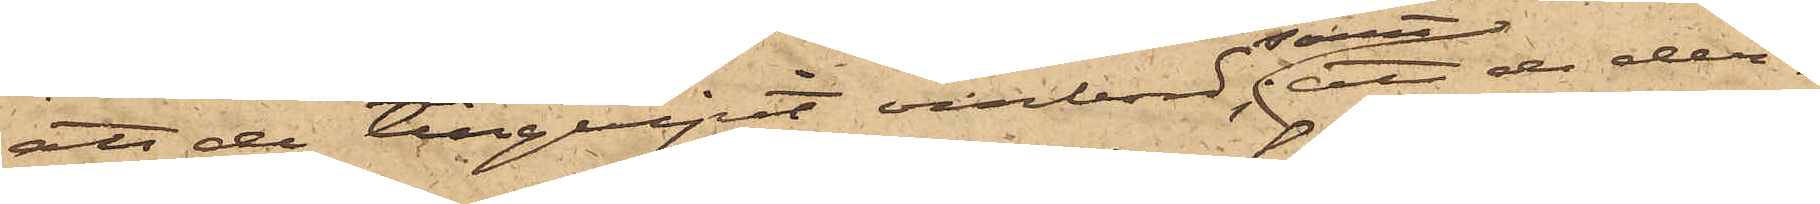att de tillgripit ombord; samt att de der¬
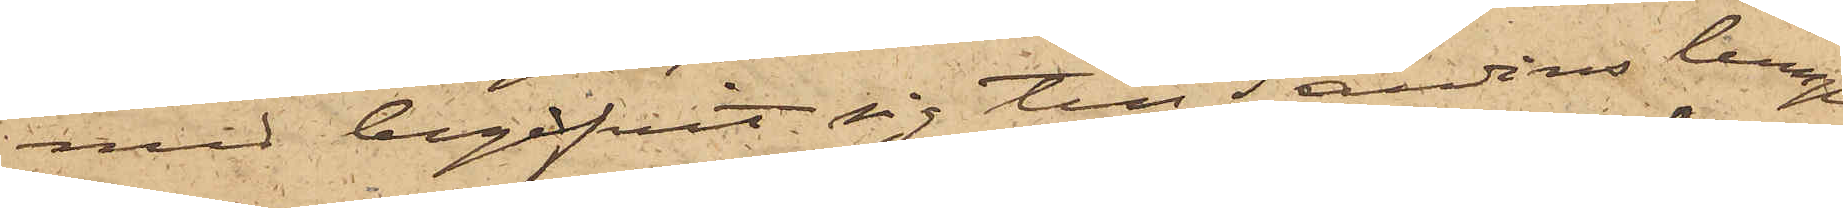med begifvit sig till Sandins lump¬
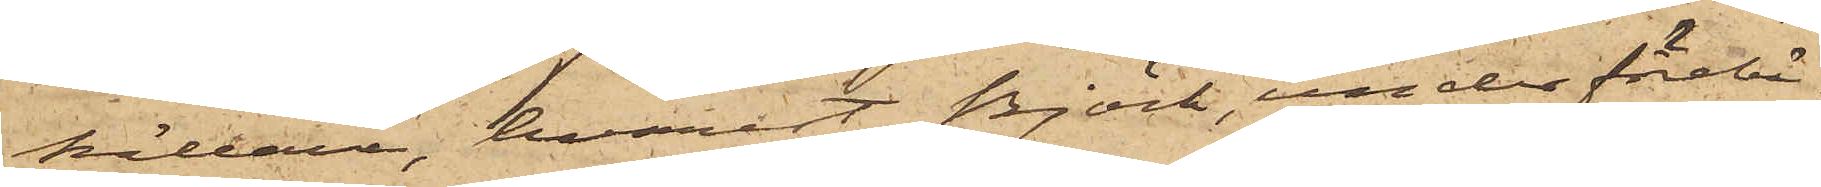källare, hvarest Björk, under förebä¬
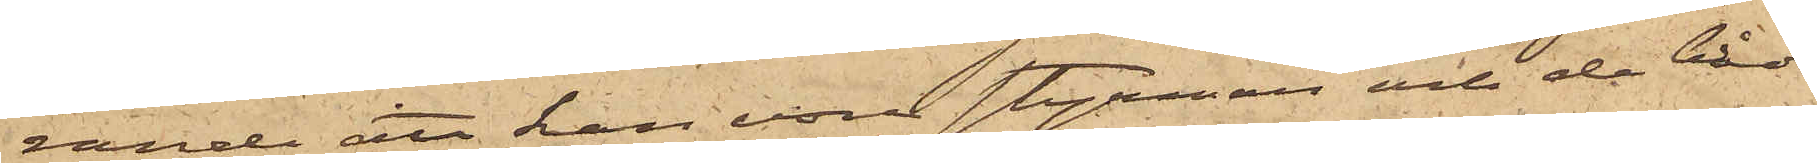rande att han vore styrman och de båda
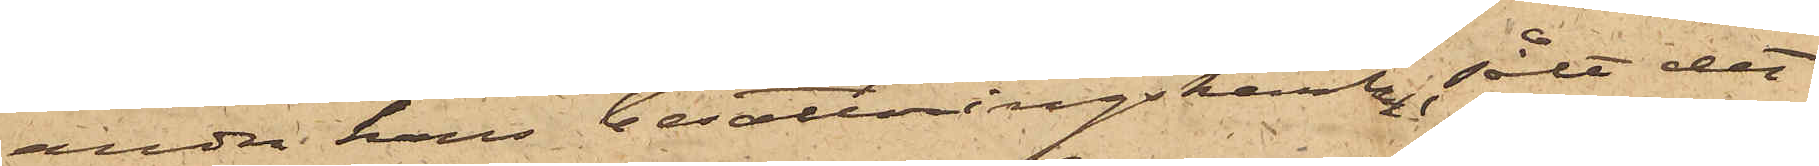andra hans berättningskarlar, sålt det
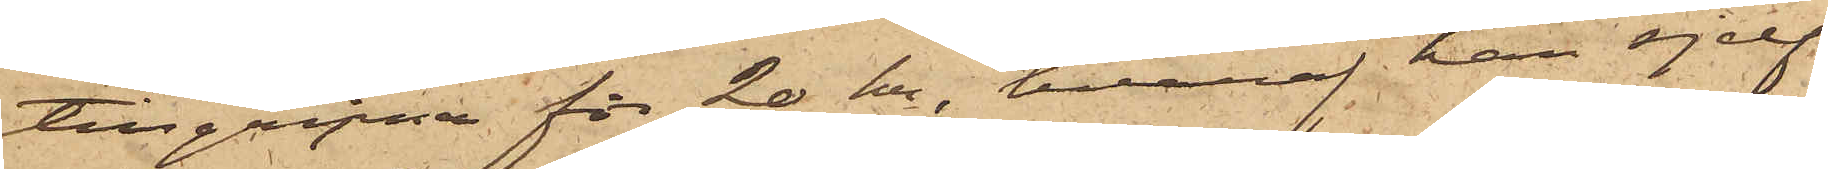tillgripne för 20 kr, hvaraf han sjelf
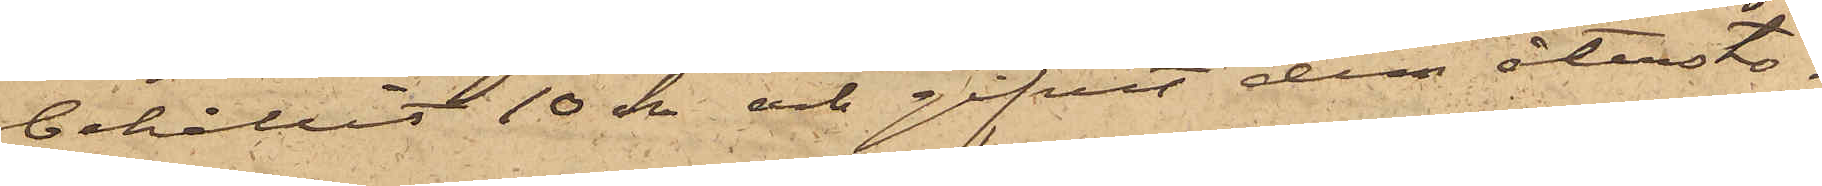behållit 10 kr och gifvit dem återsto¬
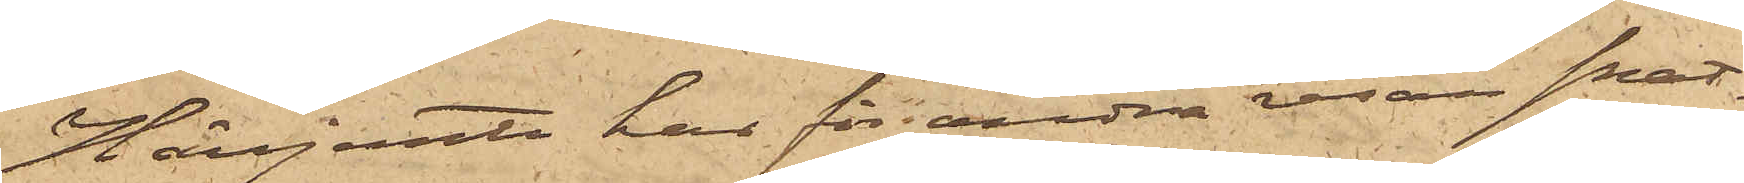Härjemte har för andra resan snat¬
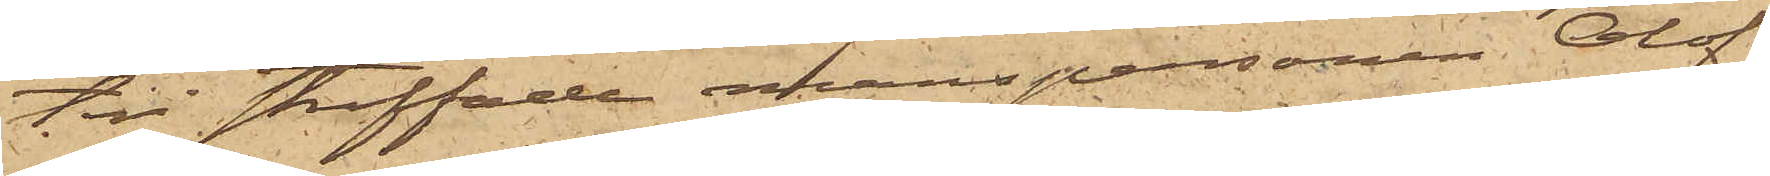teri straffade manspersonen Olof
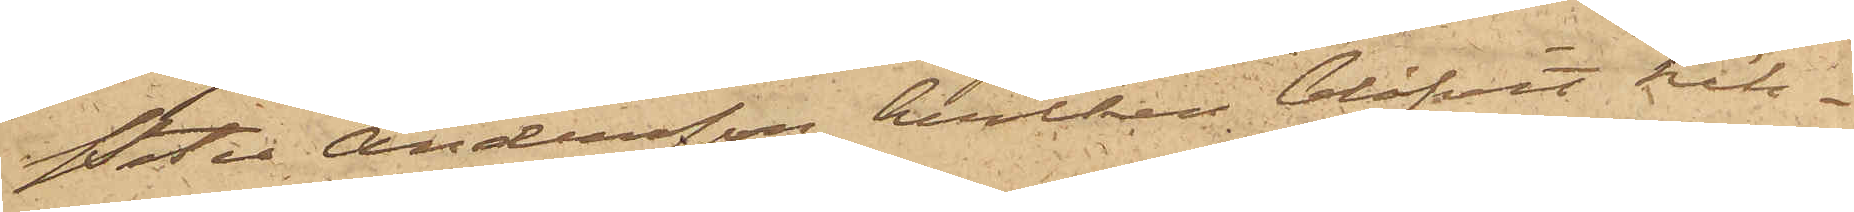Peter Andersson, hvilken blifvit häk¬
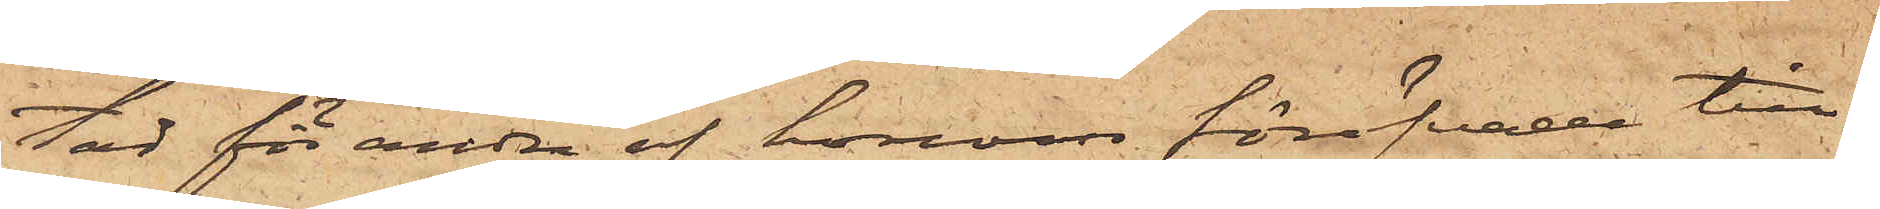tad för andra af honom föröfvade till¬
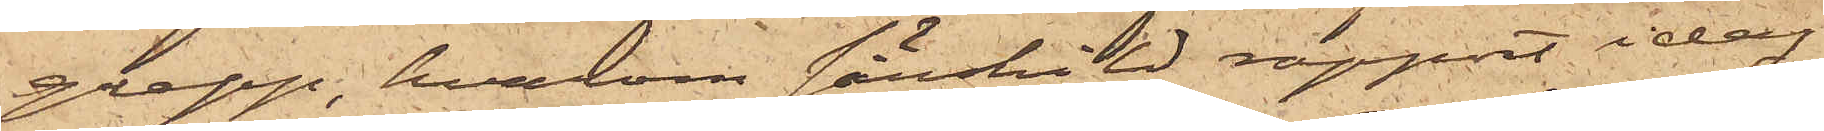grepp, hvarom särskild rapport idag
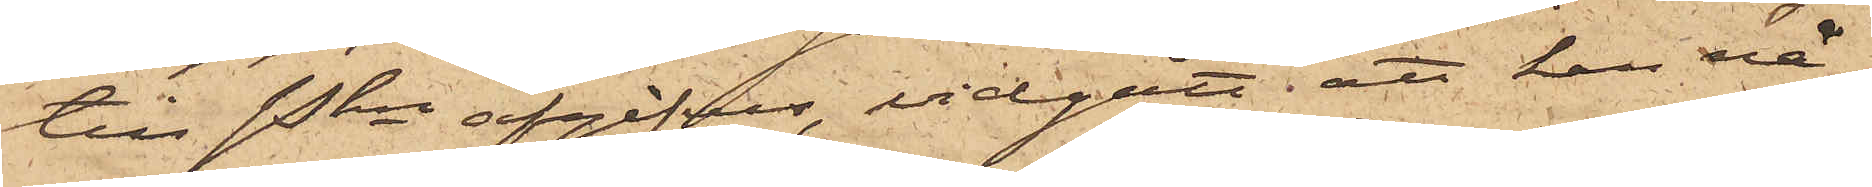till Pkn afgifves, vidgått, att han nå¬
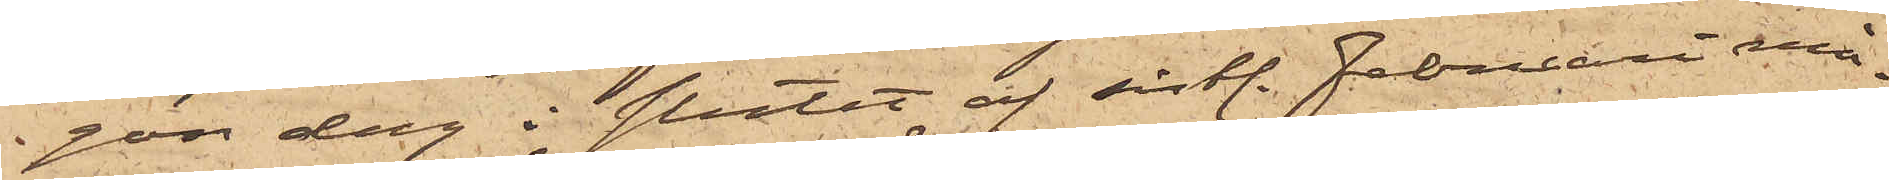gon dag i slutet af sistl. Februari må¬
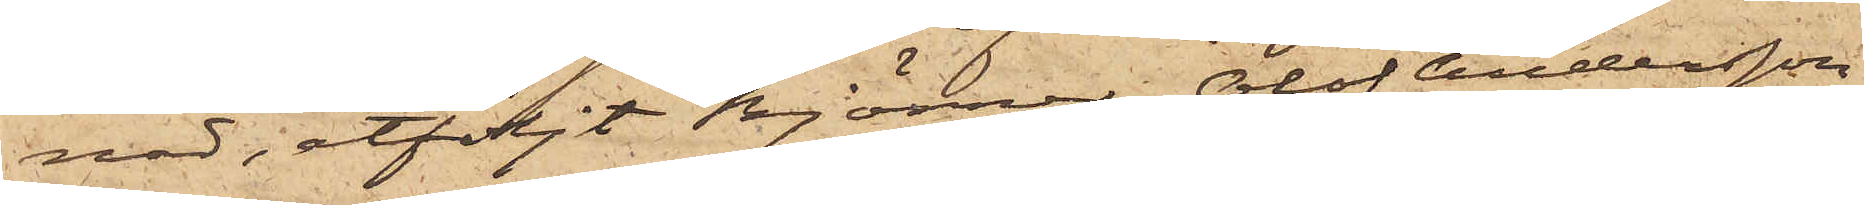nad, åtföljt Björner, Olof Andersson
